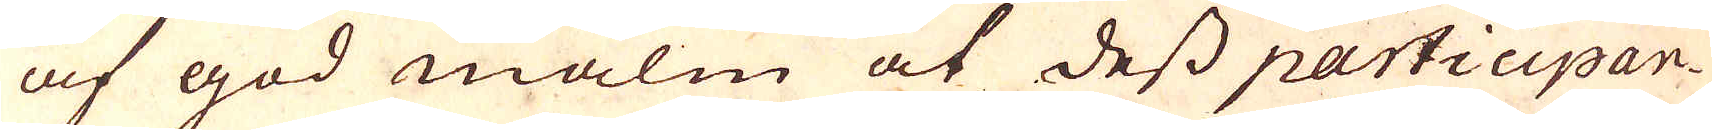af god malm at dess participan-
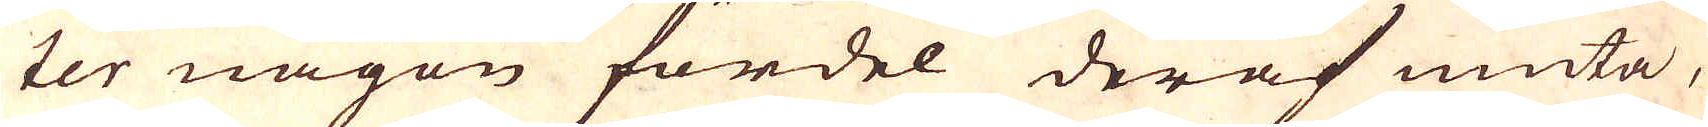ter någon fördel deraf niuta,
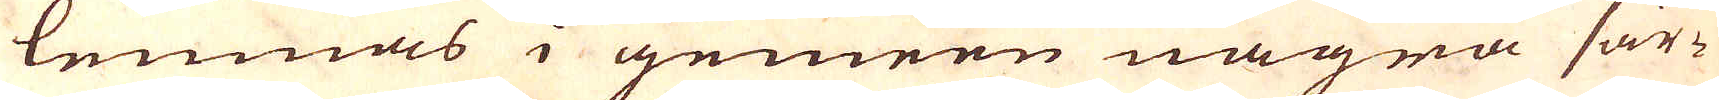lemnas i gemeen några sär-
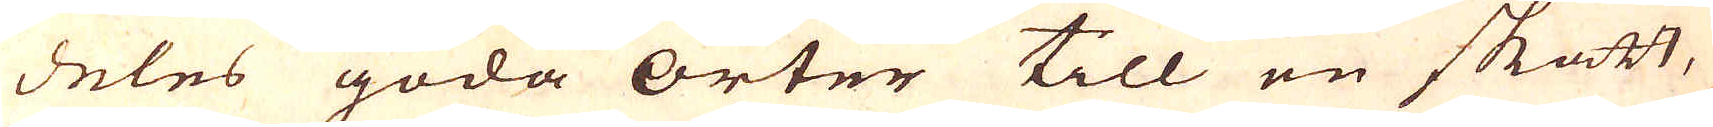deles goda orter till en skatt,
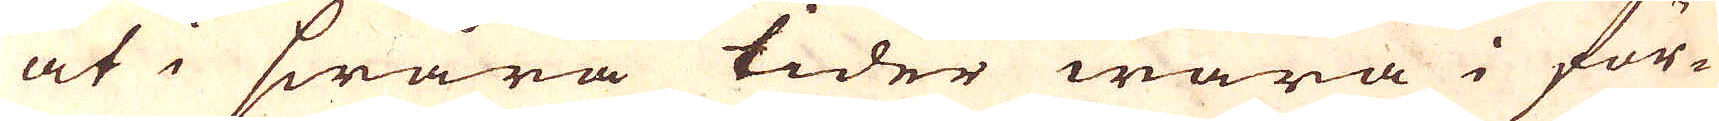at i swara tider wara i för-
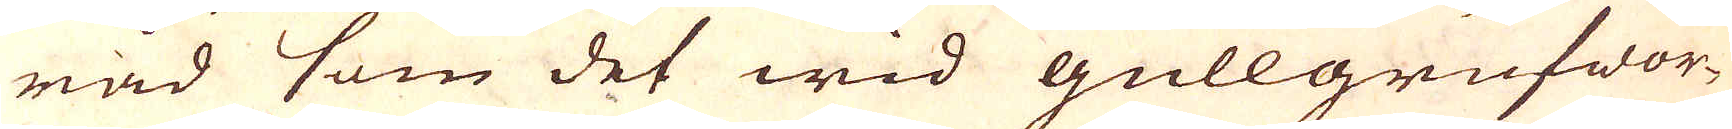råd som det wid gullgrufwor-
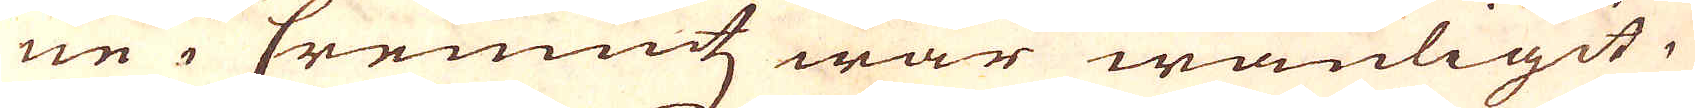ne i Cremnitz war wanligit,
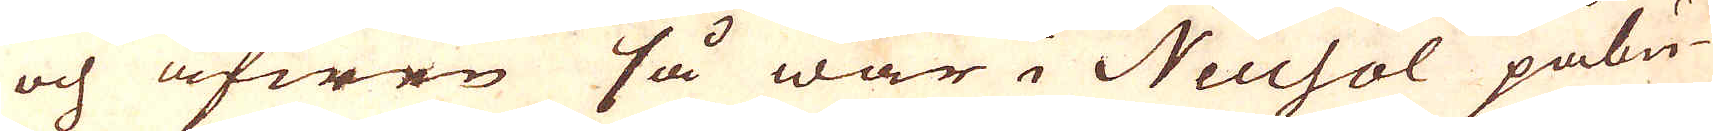och äfwen så war i Neusol påbu-
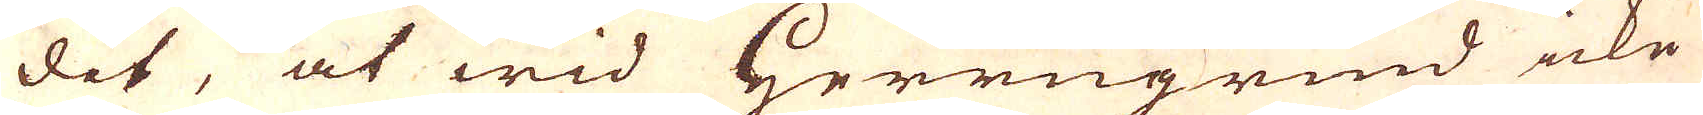dit, at wid Herregrund icke
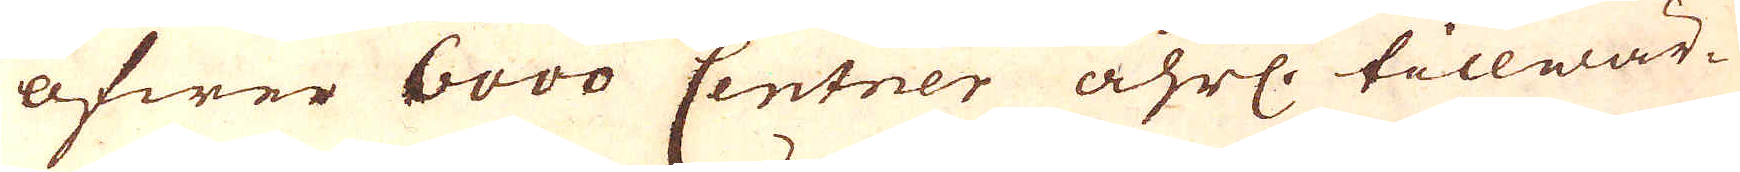öfwer 6000 Centner åhrl. tillwär-
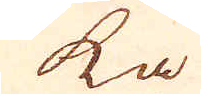ka
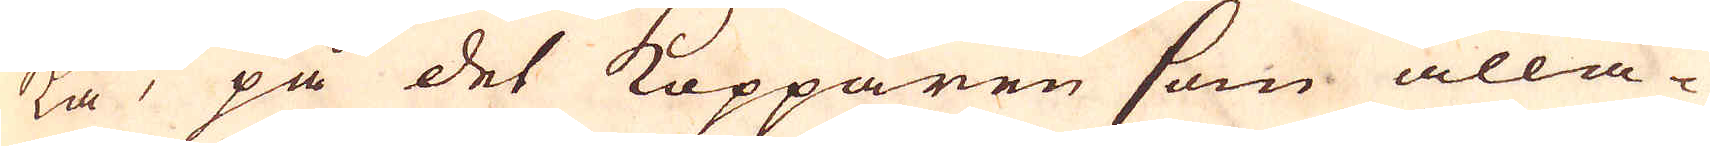ka, på det Kopparen som alla-
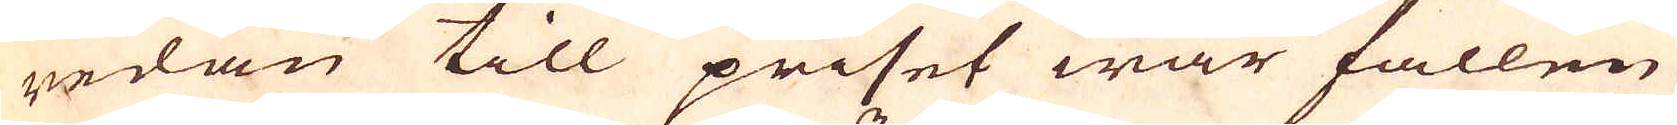redan till priset war fallen
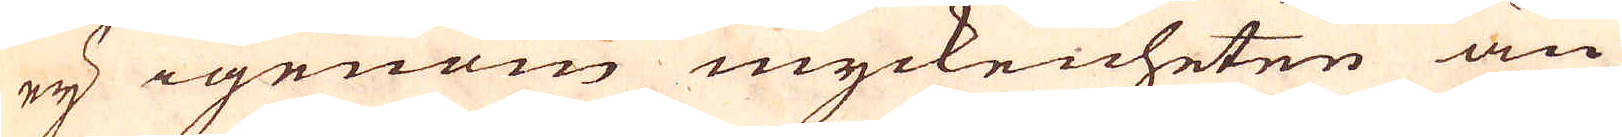ey igenom myckenheten än
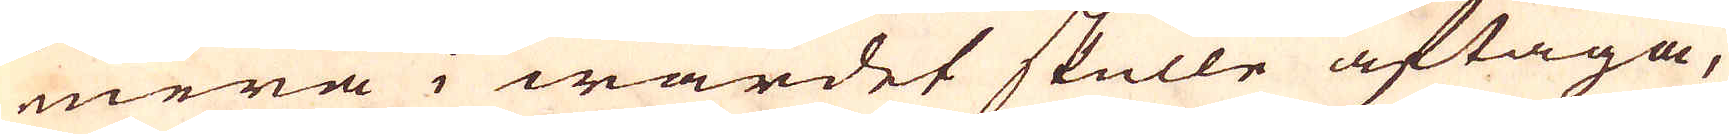mera i wardet skulle aftaga,
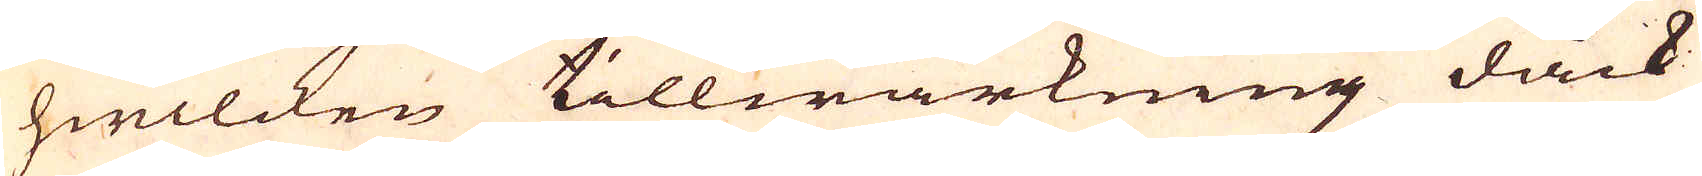hwilcken tillwärkning dåck
